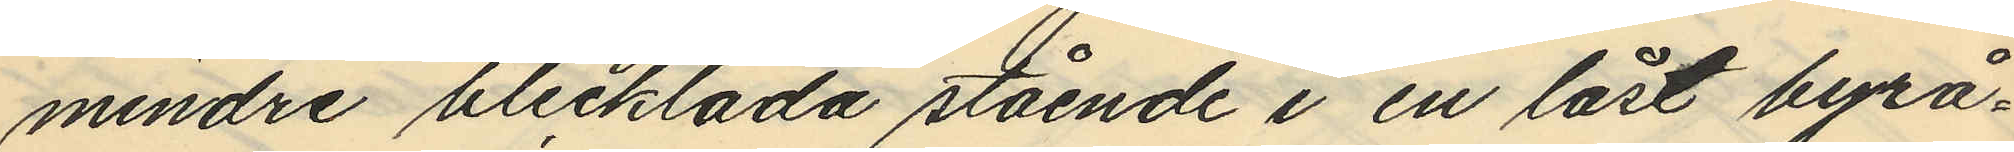mindre blecklåda stående i en låst byrå¬
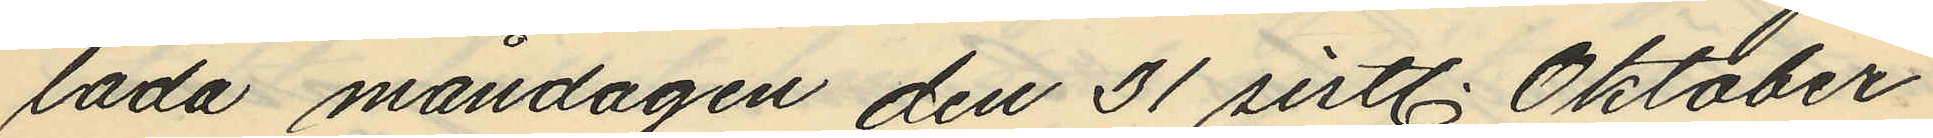låda måndagen den 31 sistl. Oktober
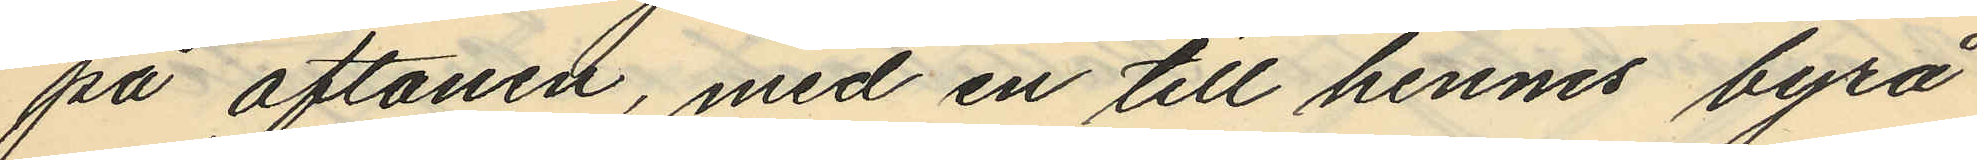på aftonen, med en till hennes byrå
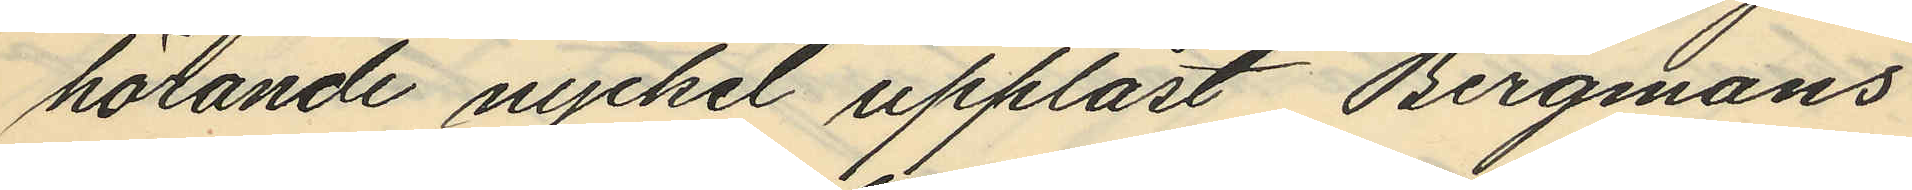hörande nyckel upplåst Bergmans
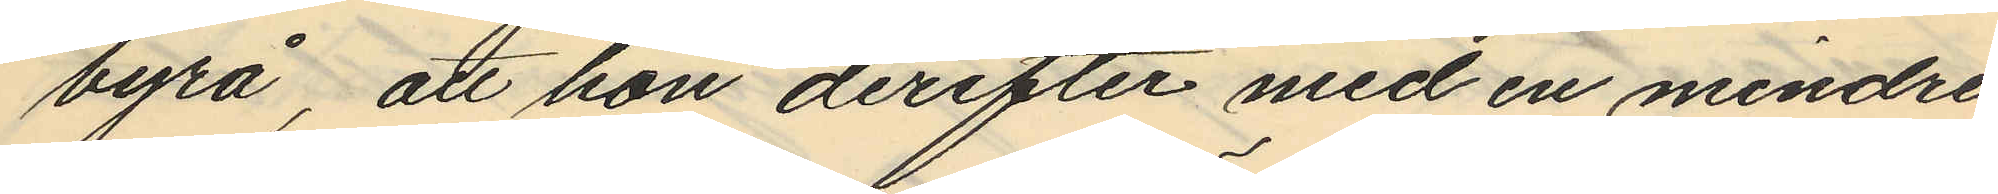byrå, att hon derefter med en mindre
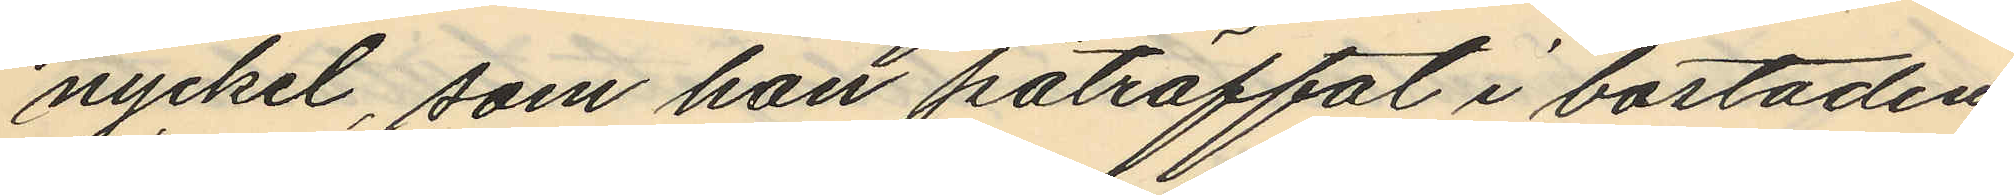nyckel, som hon påträffat i bostaden
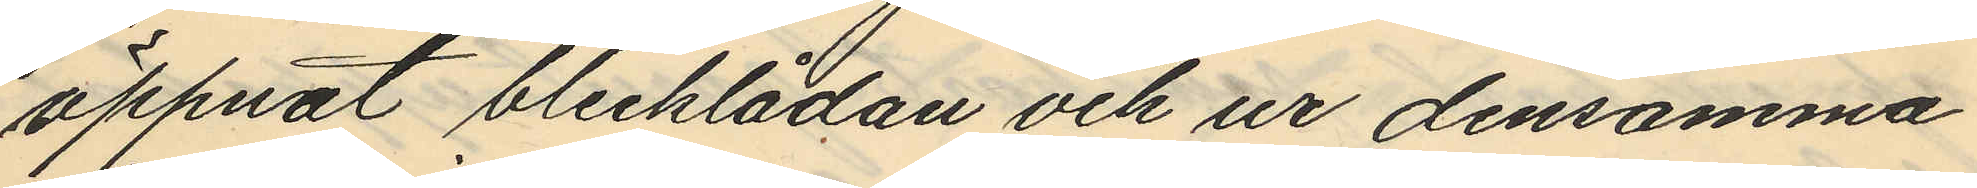öppnat blecklådan och ur densamma
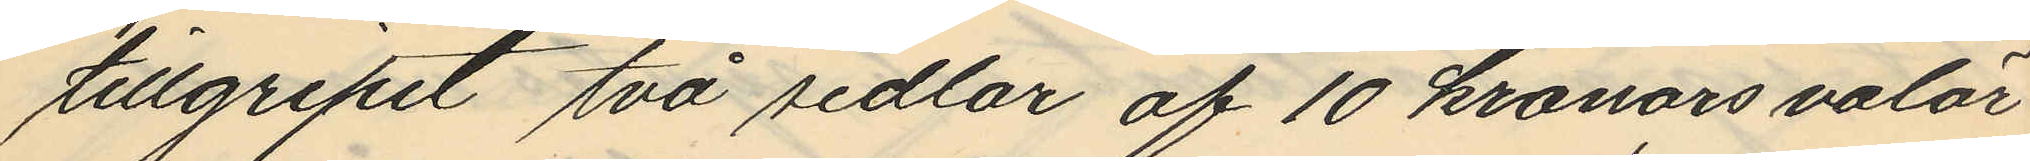tillgripit två sedlar af 10 kronors valör
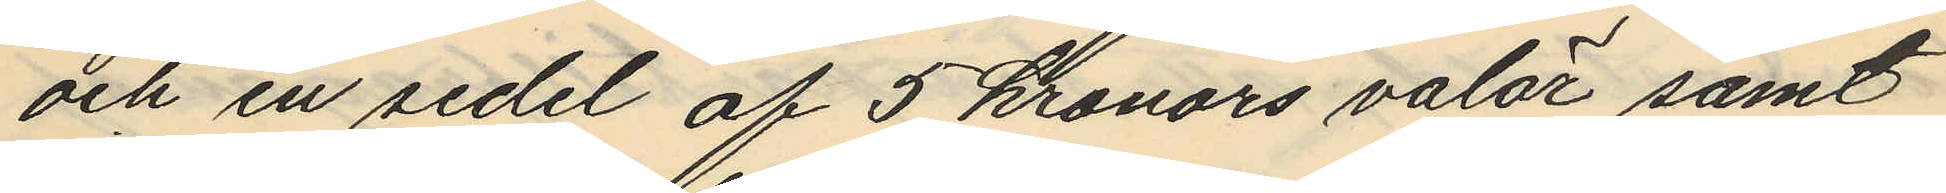och en sedel af 5 kronors valör samt
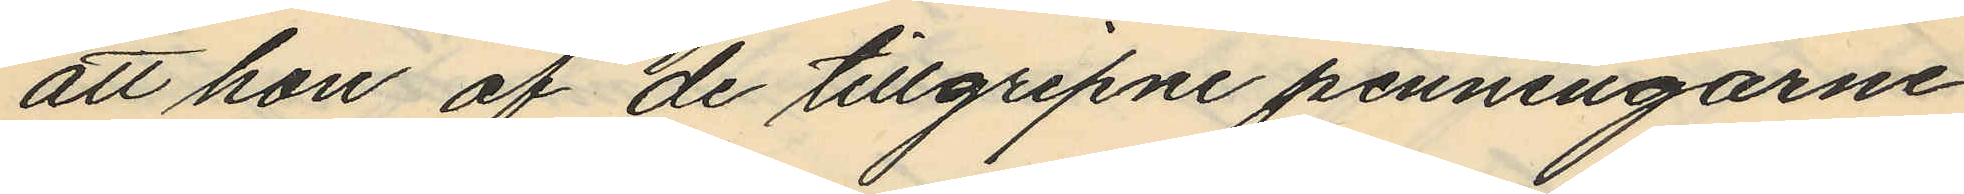att hon af de tillgripne penningarne
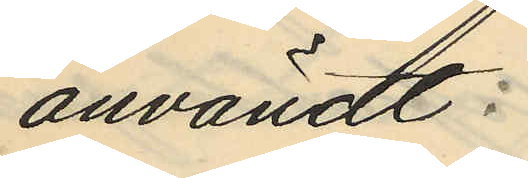användt:
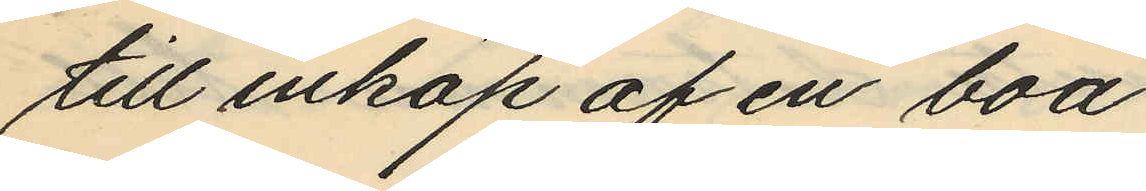till inköp af en boa
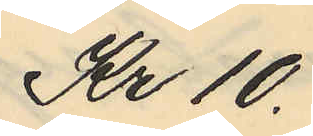Kr 10.
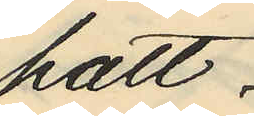hatt
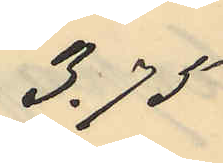3.75
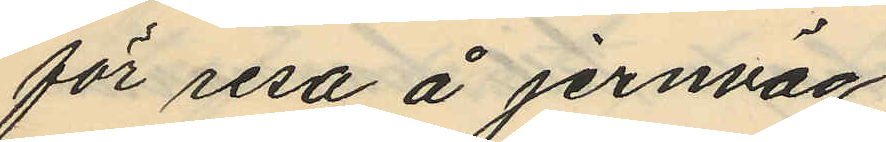för resa å jernväg
